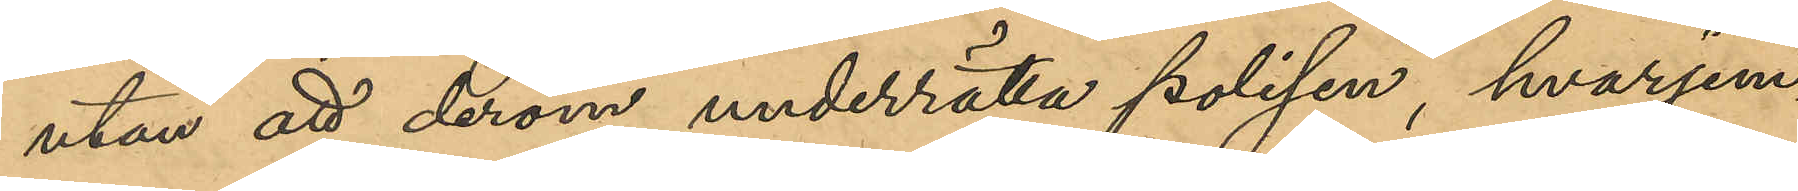utan att derom underrätta polisen, hvarjem¬
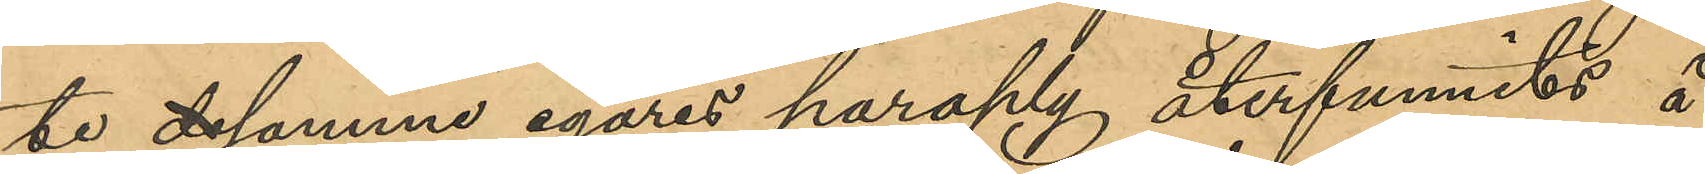te desamme egares paraply återfunnits å
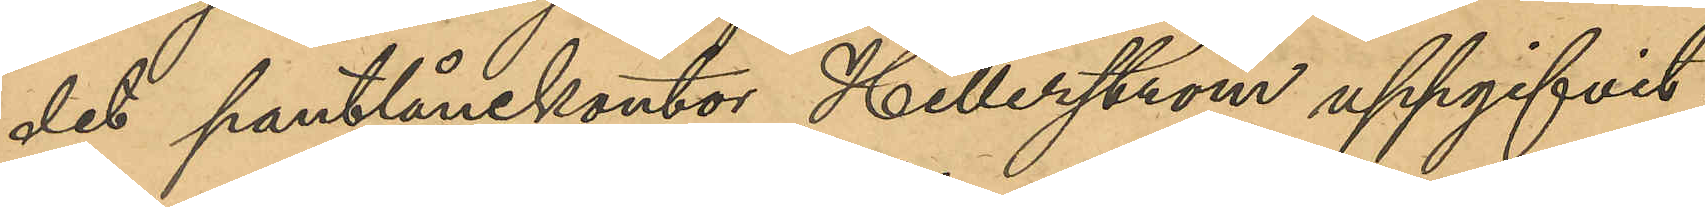det pantlånekontor Hillerström uppgifvit
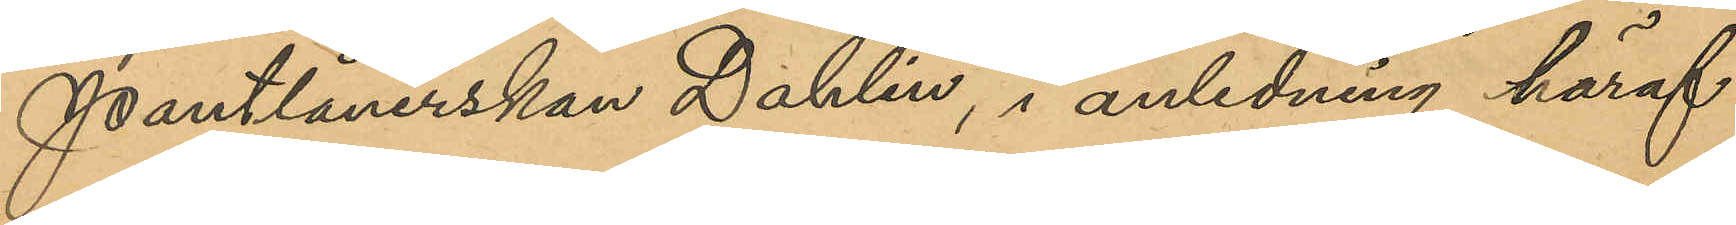Pantlånerskan Dahlin, i anledning häraf
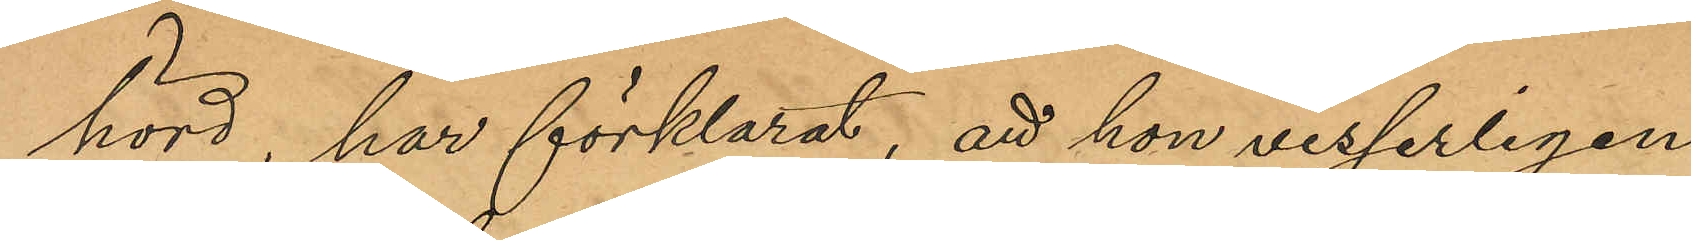hörd, har förklarat, att hon visserligen
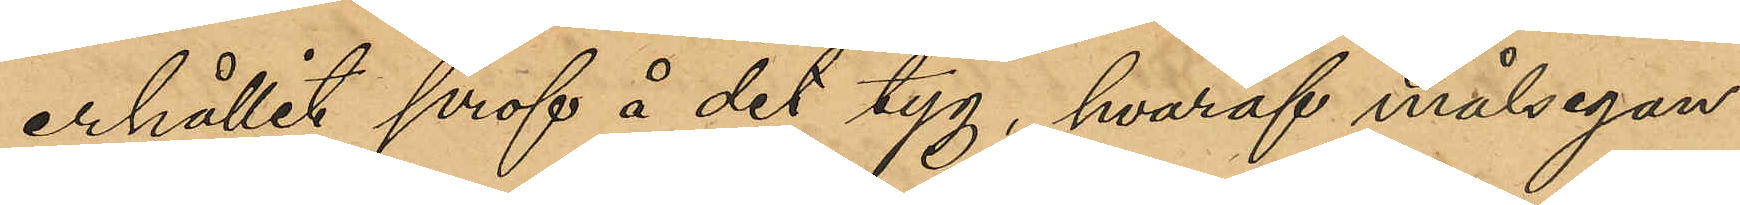erhållit prof å det tyg, hvaraf målsegan¬
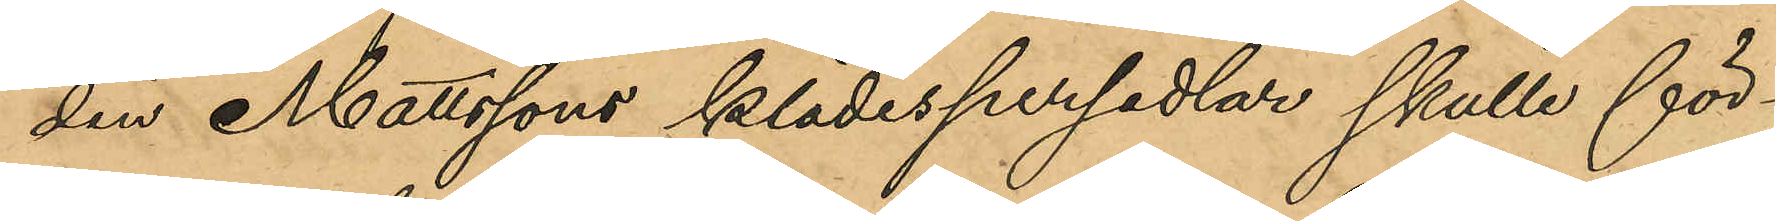den Mattssons klädespersedlar skulle för-
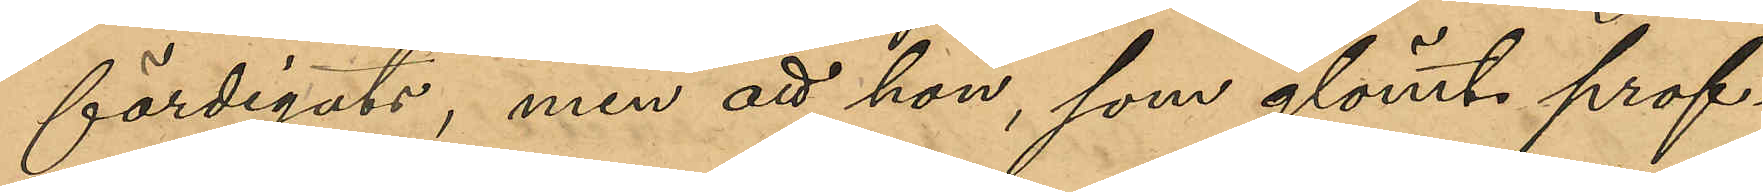färdigats, men att hon, som glömt prof¬
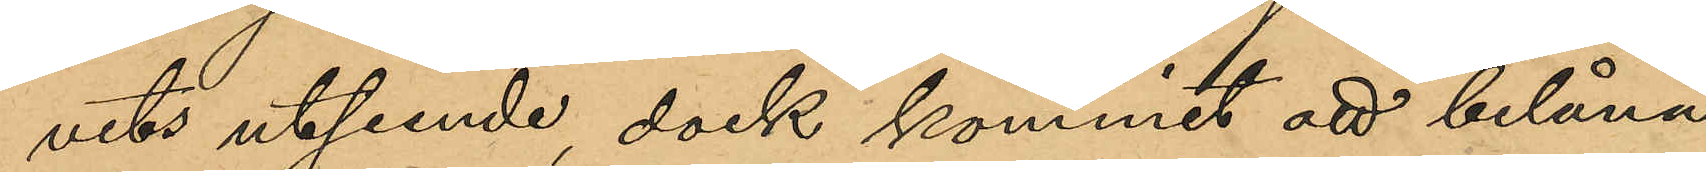vets utseende, dock kommit att belåna
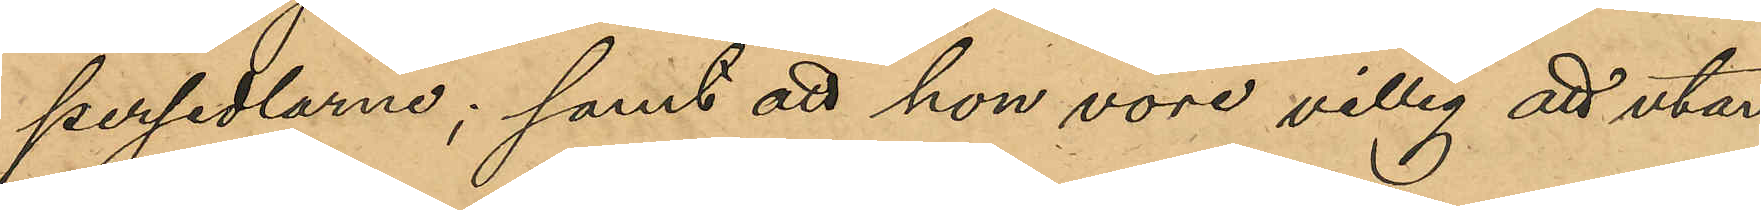persedlarne; samt att hon vore villig att utan
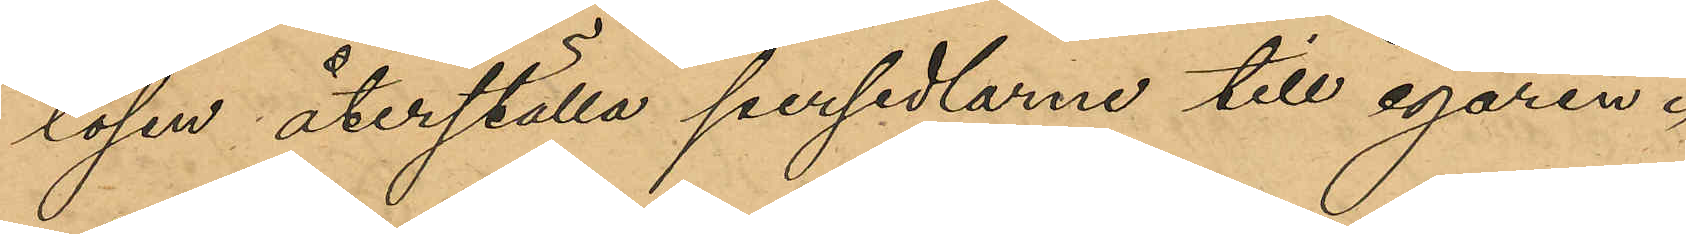lösen återställa persedlarne till egaren.
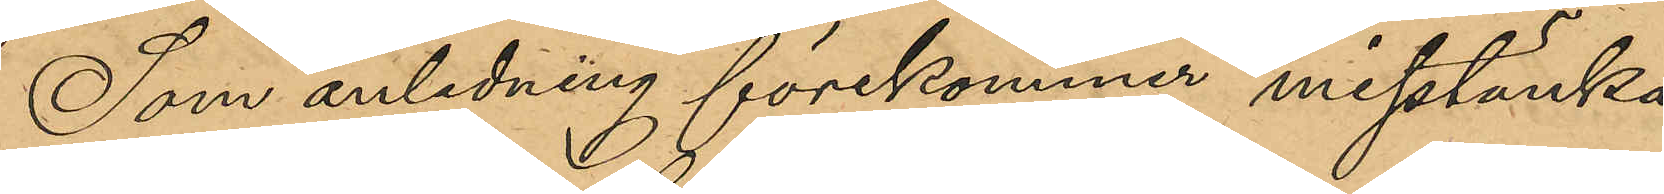Som anledning förekommer misstänka
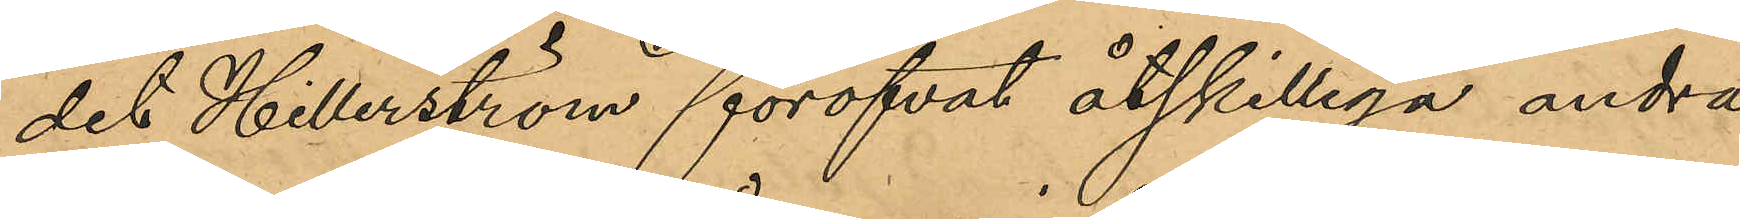det Hillerström föröfvat åtskilliga andra
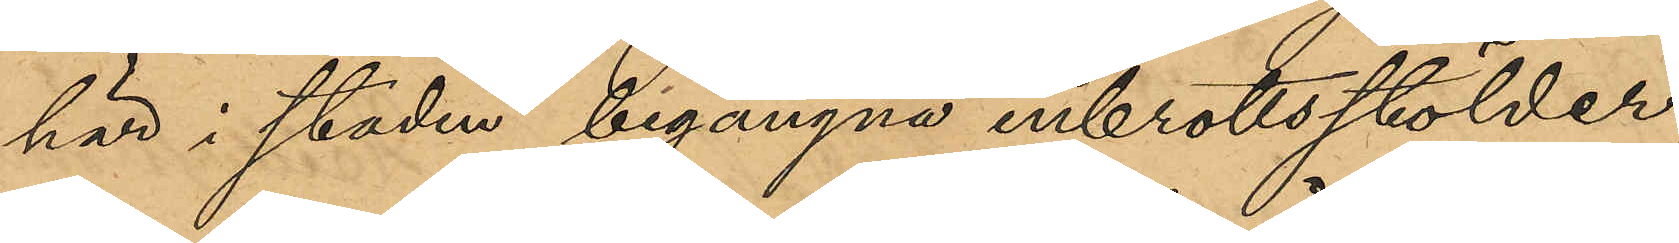här i staden begångna inbrottsstölder,
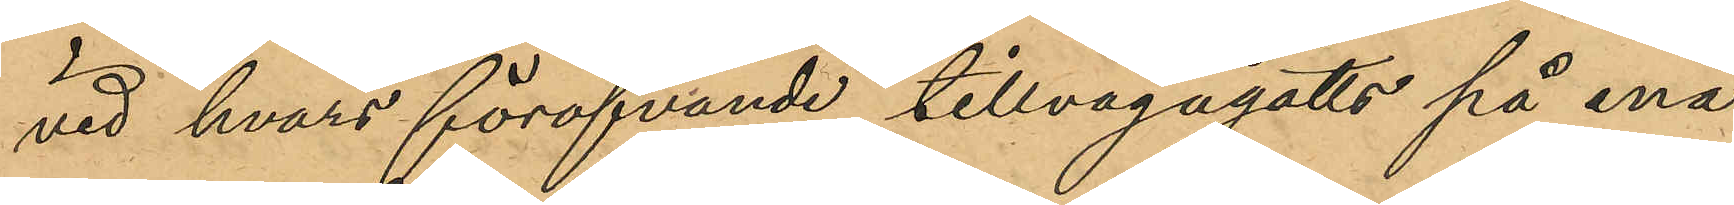vid hvars föröfvande tillvägagåtts på ena¬
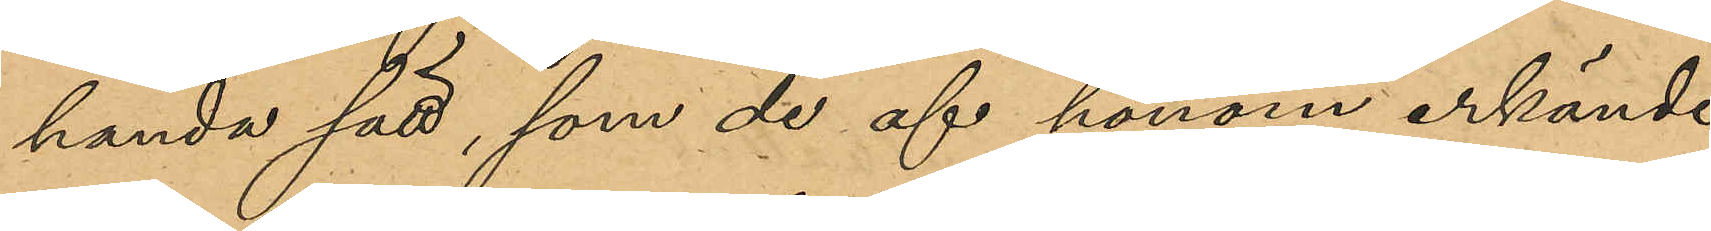handa sätt, som de af honom erkände,
